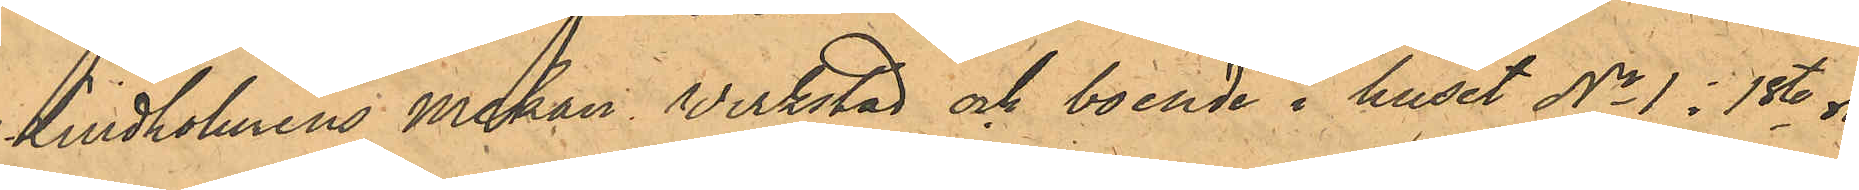Lindholmens Mekan Verkstad och boende i huset No 1 i 1ste ro¬
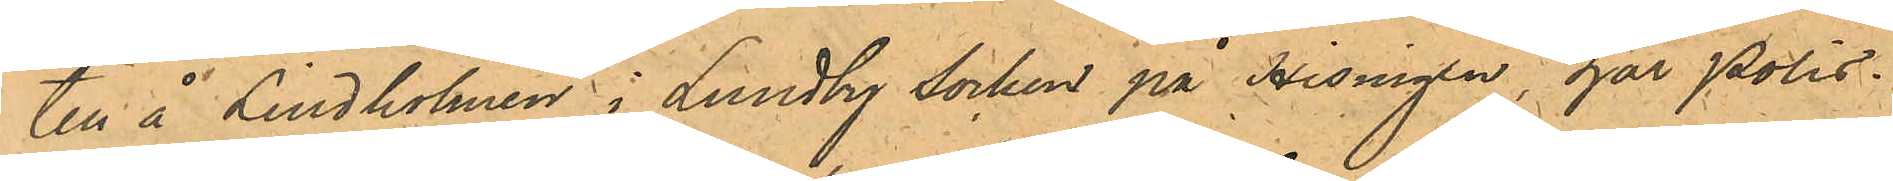till å Lindholmen i Lundby Socken på Hisingen, har Polis¬
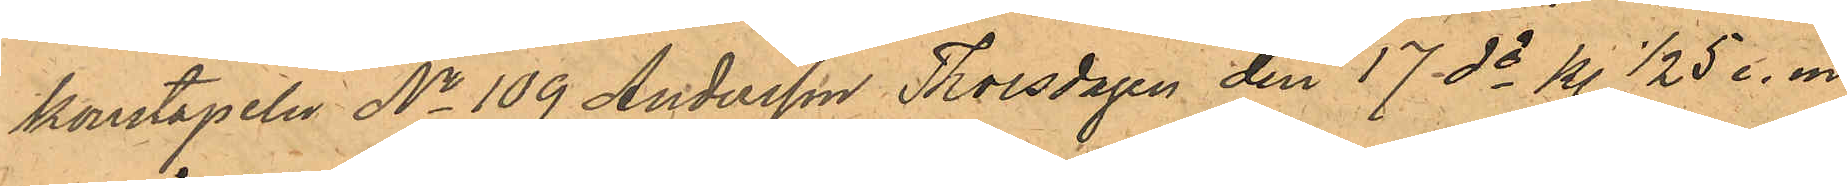konstapeln No 109 Andersson Thorsdagen den 17 ds kl. 1/2 5 e. m.
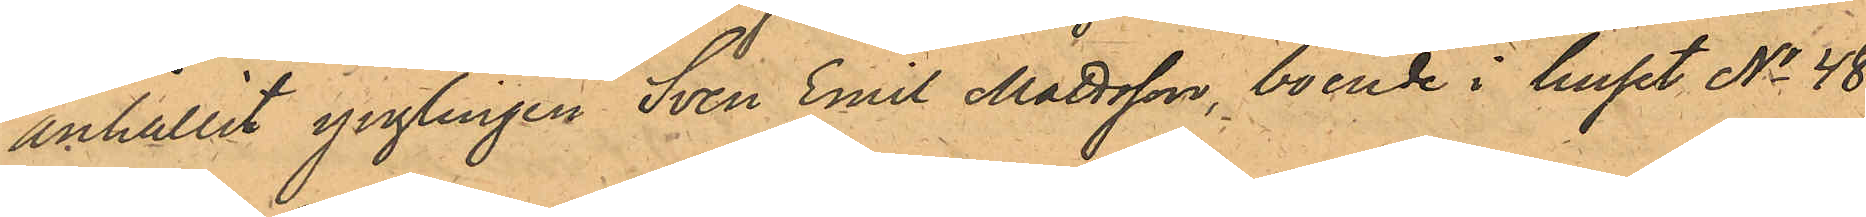anhållit ynglingen Sven Emil Mattsson, boende i huset No 48
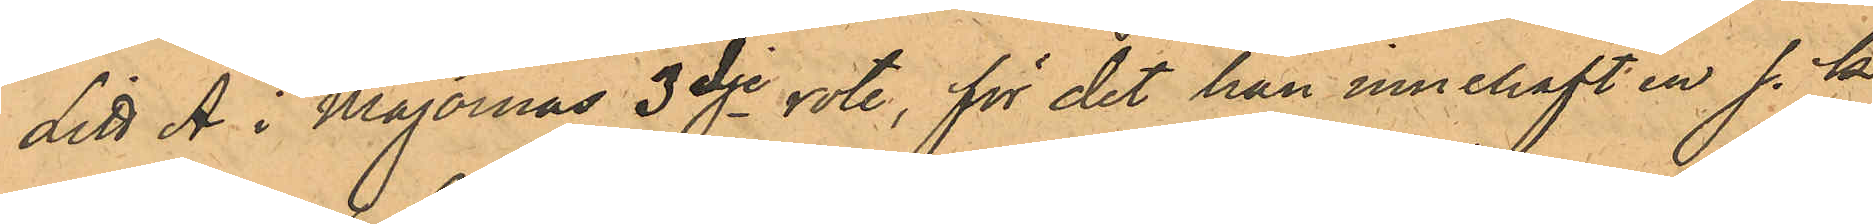Litt A i Majornas 3dje rote, för det han innehaft en s. k.
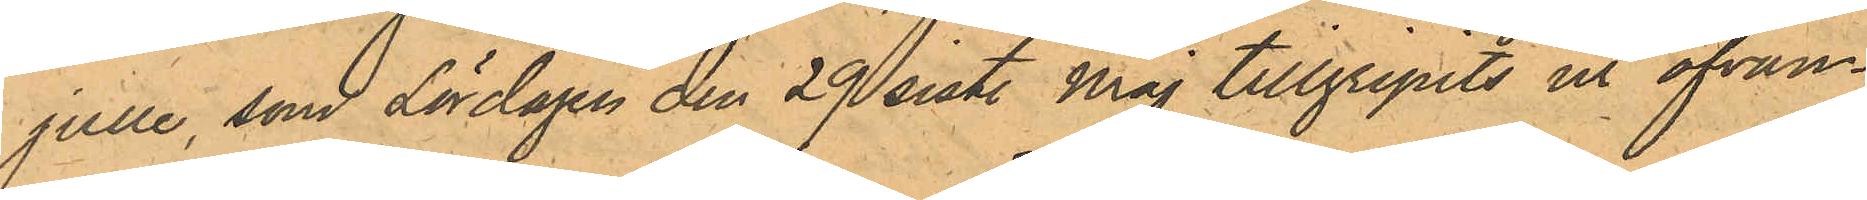julle, som Lördagen den 29 sist. Maj tillgripits ur ofvan¬
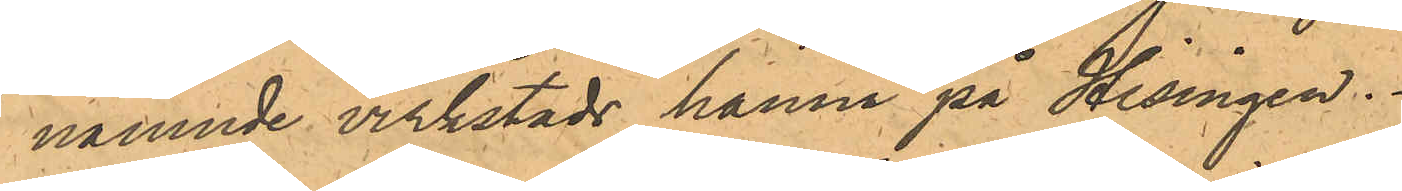nämnde verkstads hamn på Hisingen..
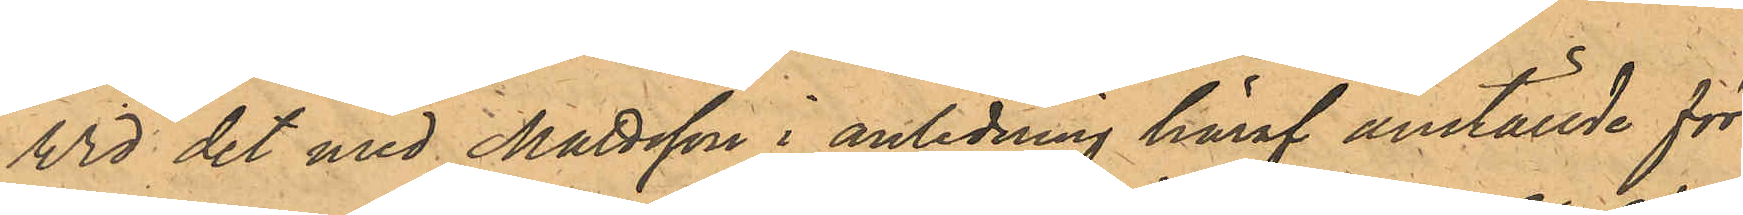Vid det med Mattsson i anledning häraf anställde för¬
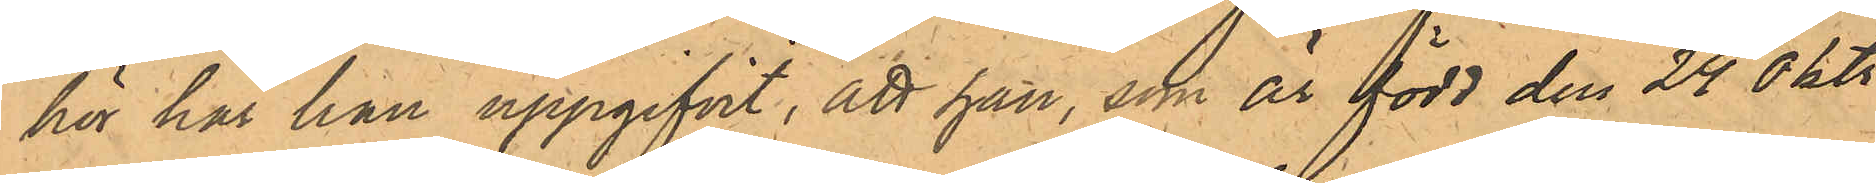hör har han uppgifvit, att han, som är född den 24 Okt
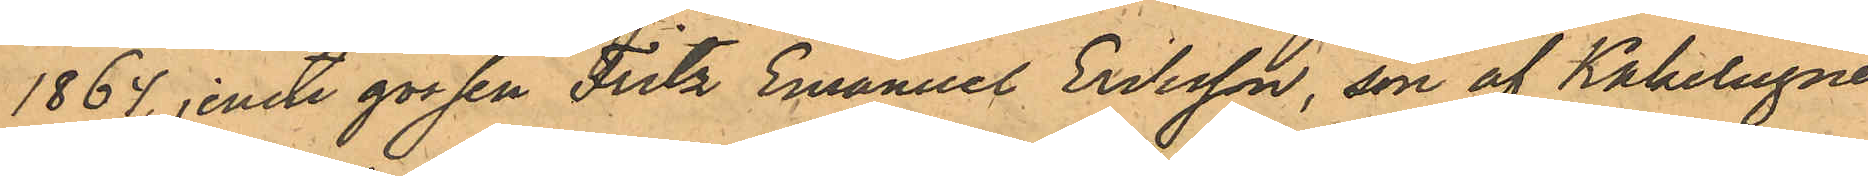1864, jemte gossen Fritz Emanuel Eriksson, son af Kakelugns¬
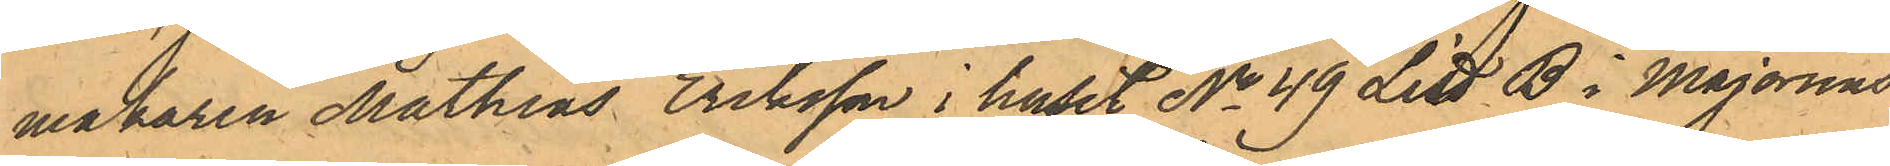makaren Mathias Eriksson i huset No 49 Litt B i Majornas
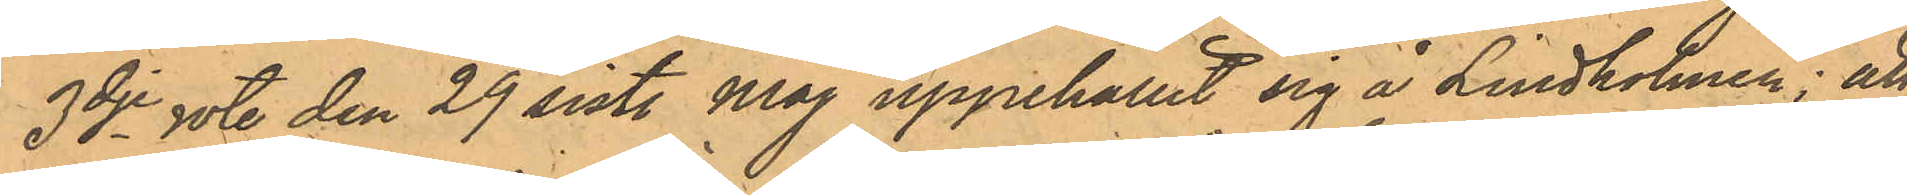3dje rote den 29 sist. Maj uppehållit sig å Lindholmen; att
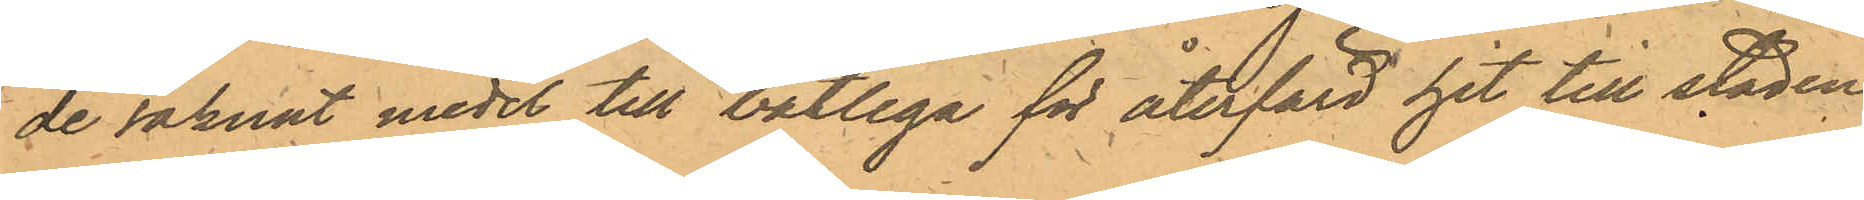de saknat medel till båtliga för återfärd hit till staden
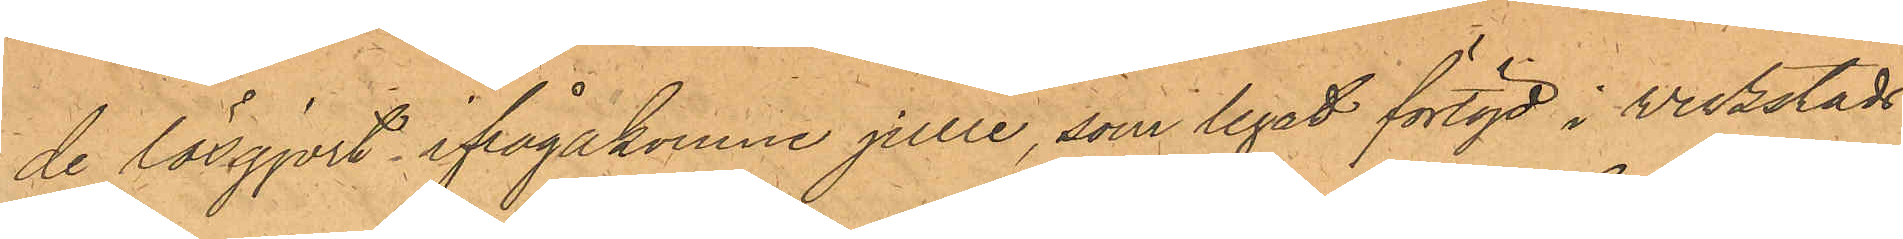de lösgjort ifrågakomne julle, som legat förtöjd i verkstads¬
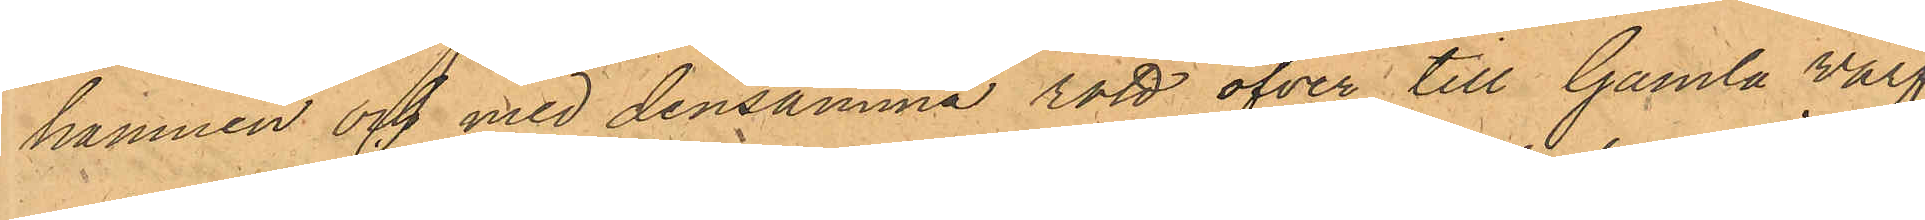hamnen och med densamma rott öfver till Gamla Varf¬
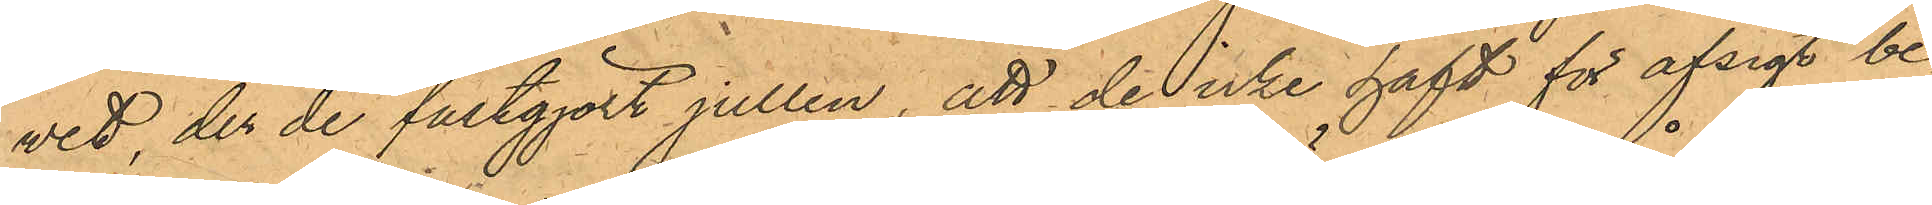vet, der de fastgjort jullen, att de icke haft för afsigt be¬
